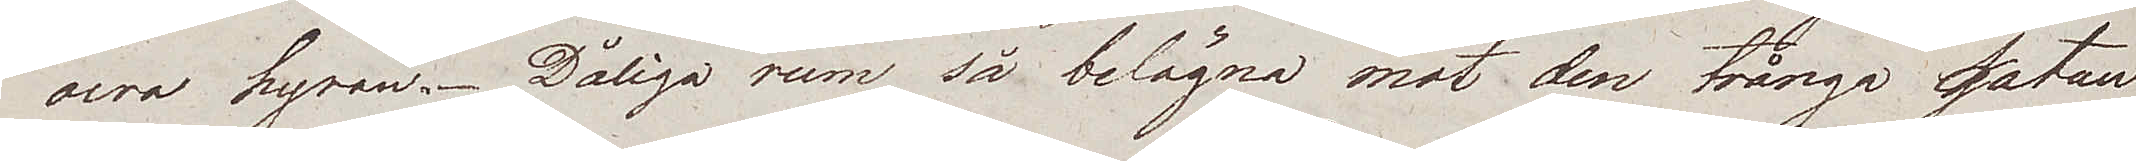ocra hyran. Dåliga rum så belägna mot den trånga gatan
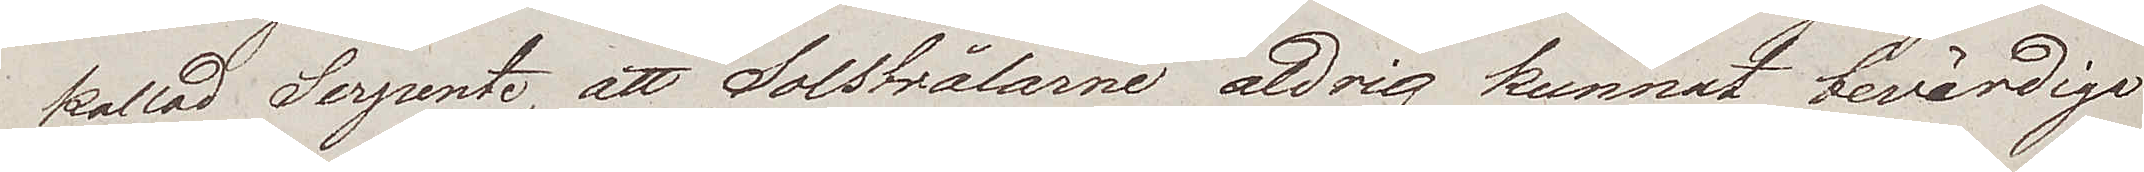kallad Serpente, att Solstrålarne aldrig kunnat bevärdiga
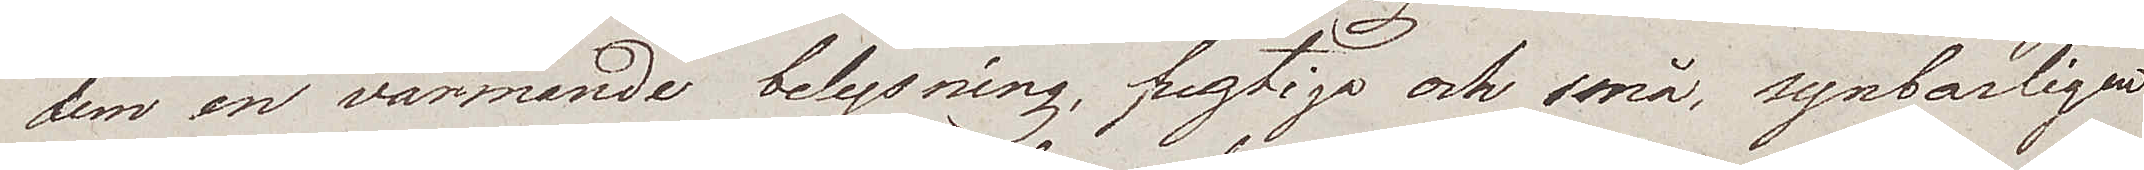dem en värmande belysning, fugtiga och små, synbarligen
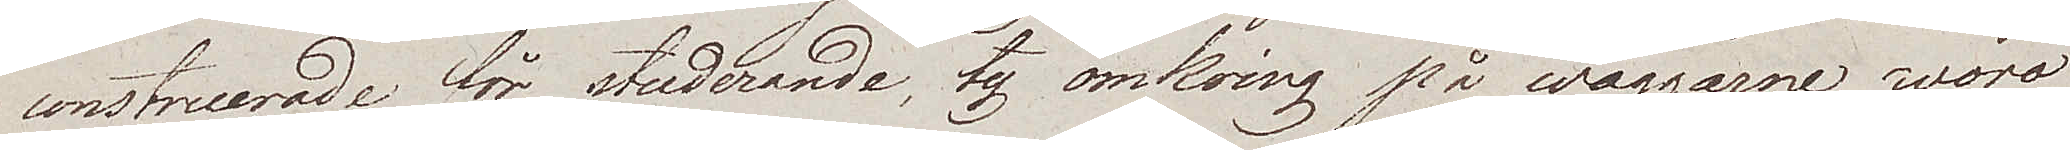construerade för studerande, ty omkring på wäggarne woro
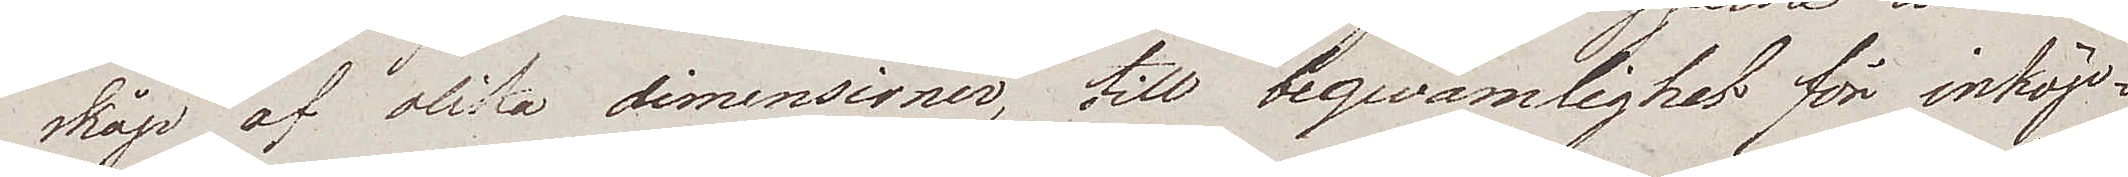skåp af olika dimensioner, till beqwämlighet för inköp¬
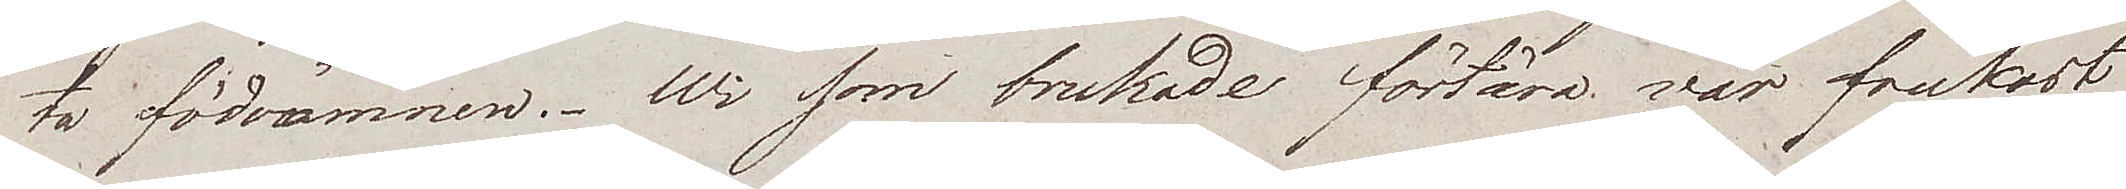ta födoämnen. Wi som brukade förtära vår frukost
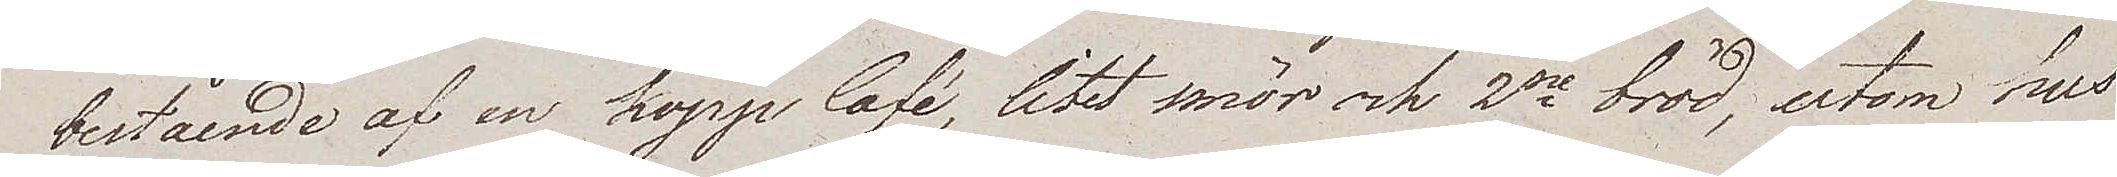bestående af en kopp Café, litet smör och 2ne bröd, utom hus
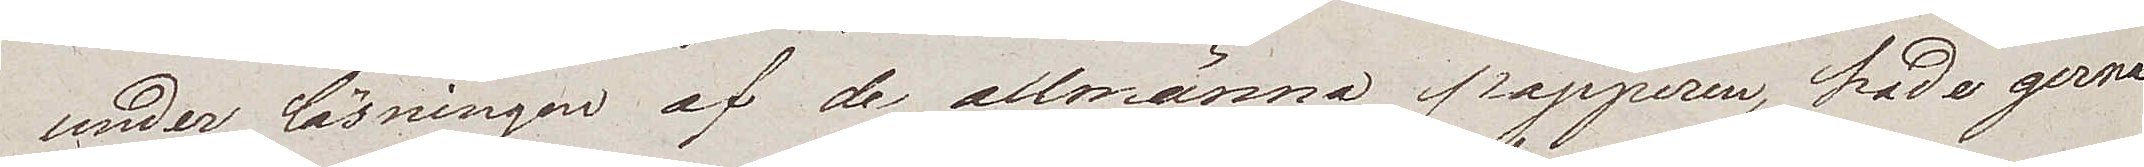under läsningen af de allmänna papperen, hade gerna
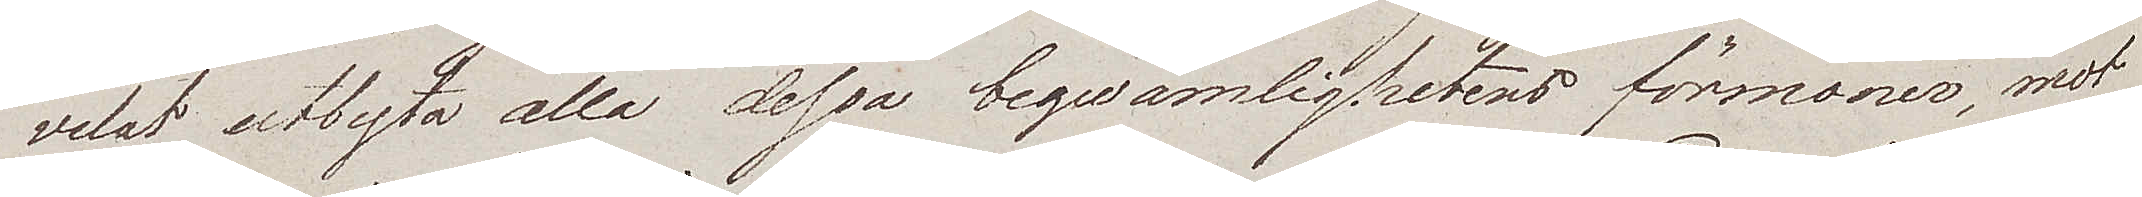velat utbyta alla dessa beqwämlighetens förmoner, mot
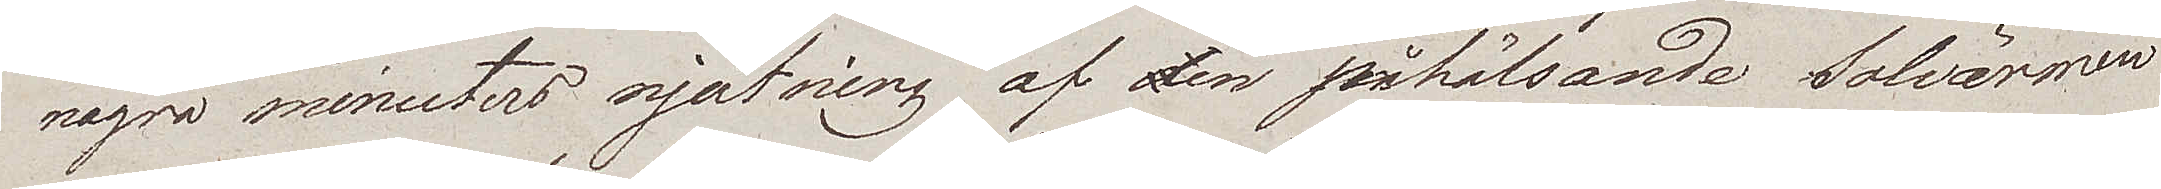några minuters njutning af den påhälsande Solvärmen
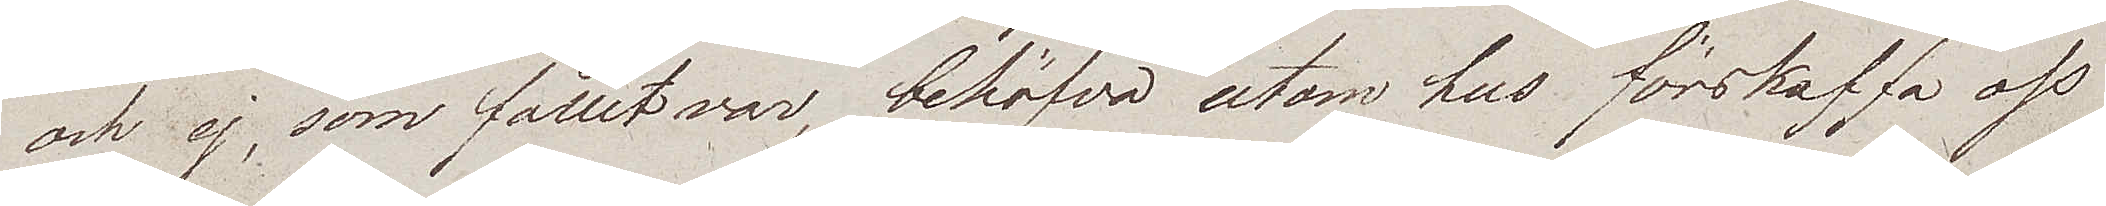och ej, som fallet var, behöfva utom hus förskaffa oss
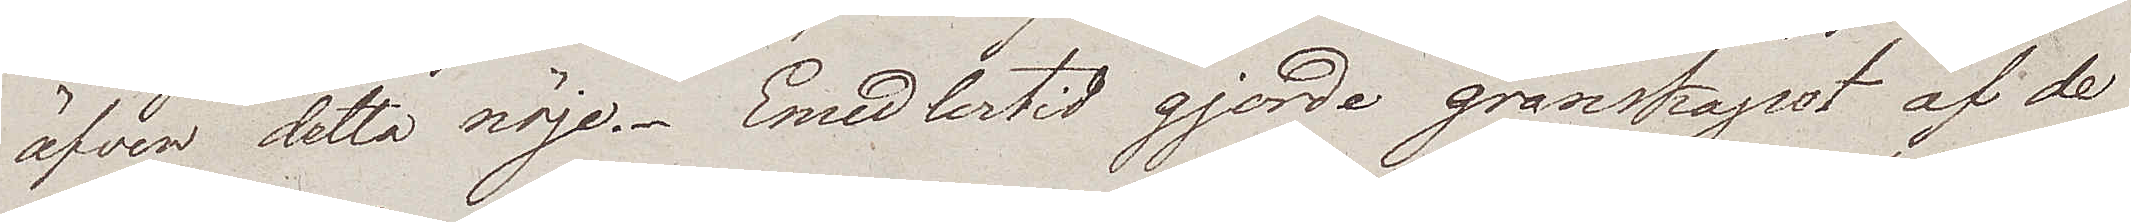äfven detta nöje. Emedlertid gjorde granskapet af de
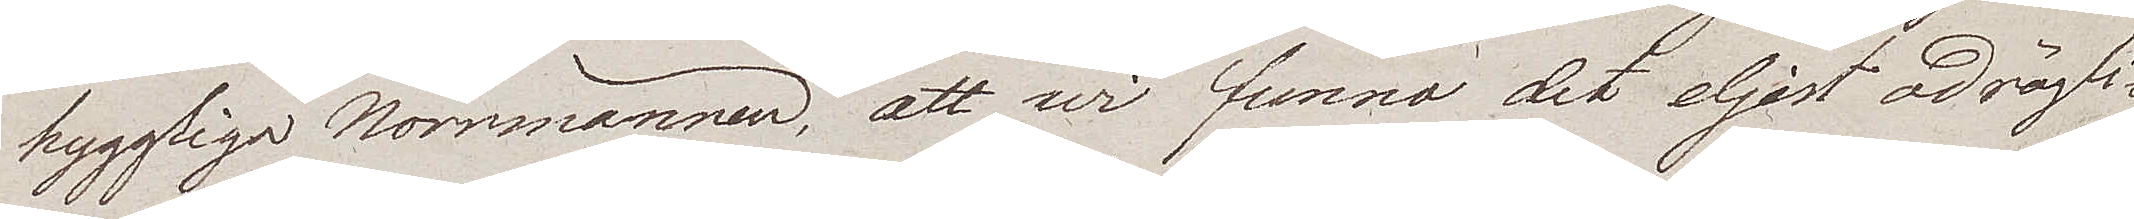hyggliga Norrmännen, att wi funno det eljest odrägli¬
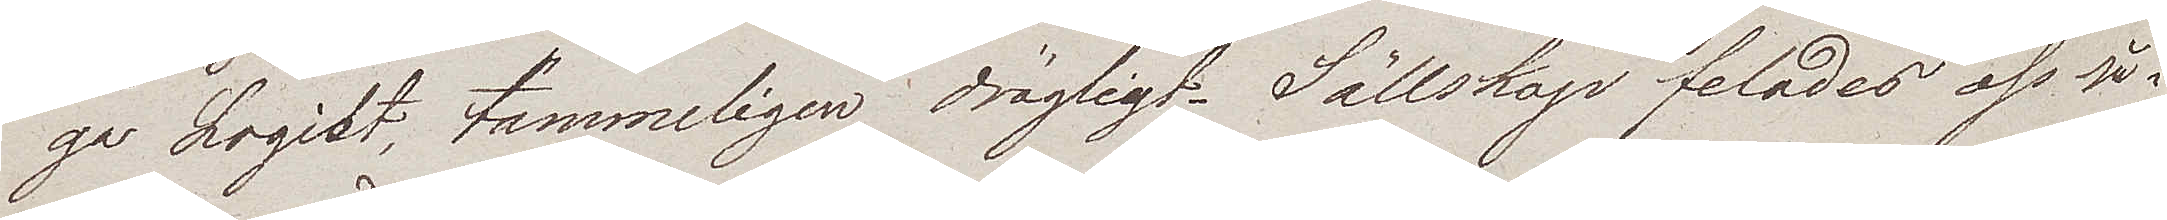ga Logiet, tämmeligen drägligt. Sällskap felades oss så¬
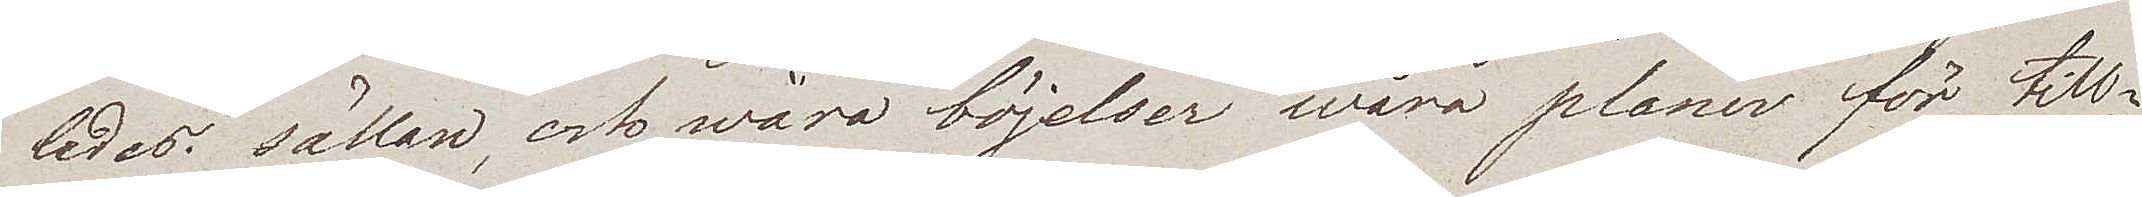ledes sällan, och wåra böjelser wåra planer för till¬
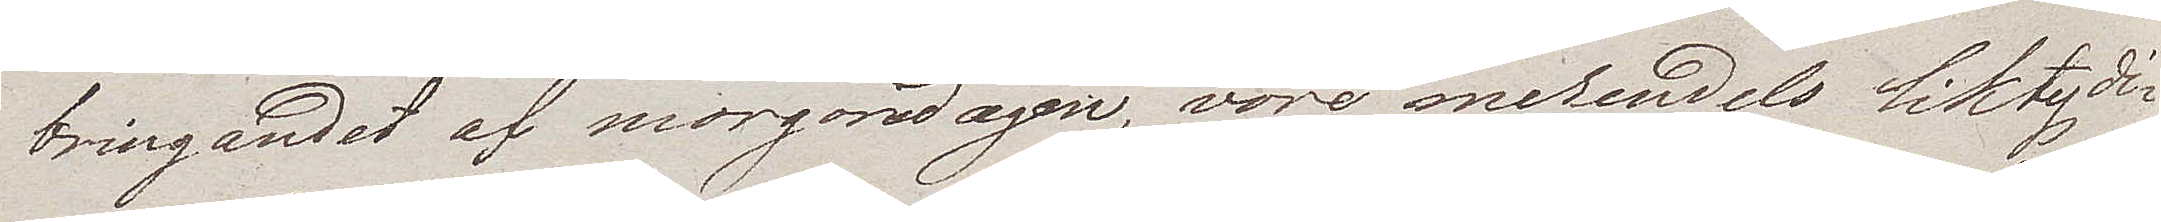bringandet af morgondagen, vore merendels liktydi¬
